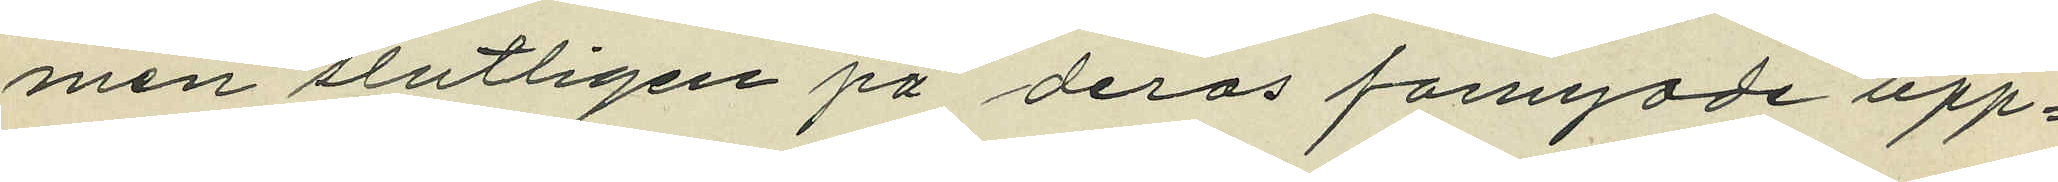men slutligen på deras fornyade upp¬
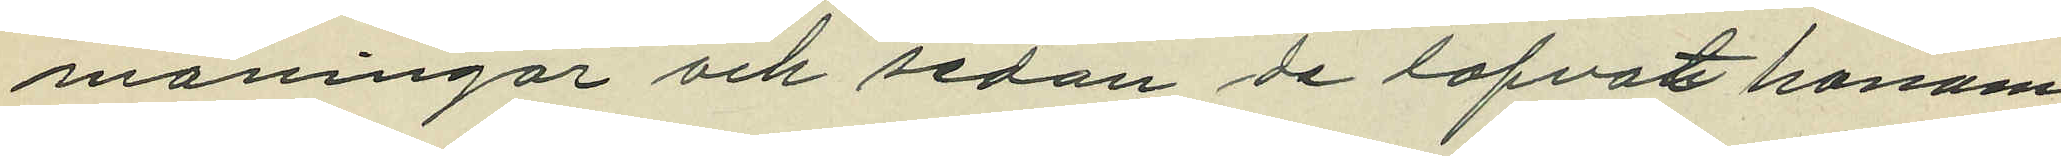maningar och sedan de lofvat honom
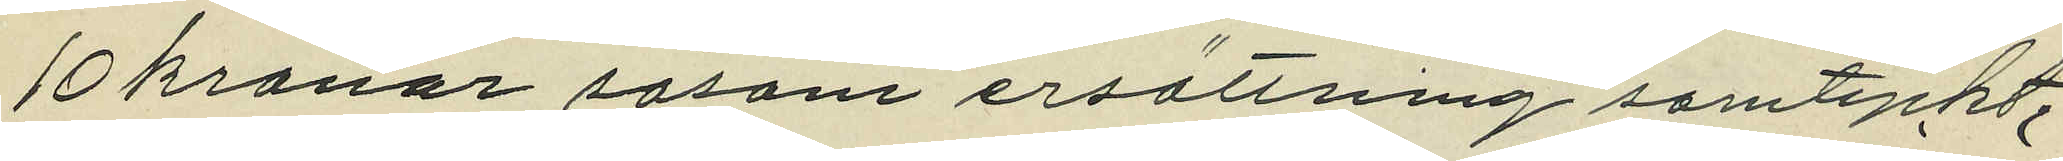10 kronor såsom ersättning samtyckt,
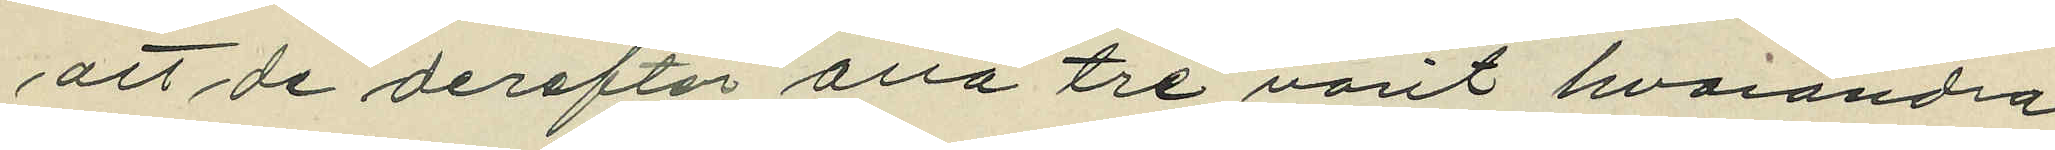att det derefter alla tre varit hvarandra
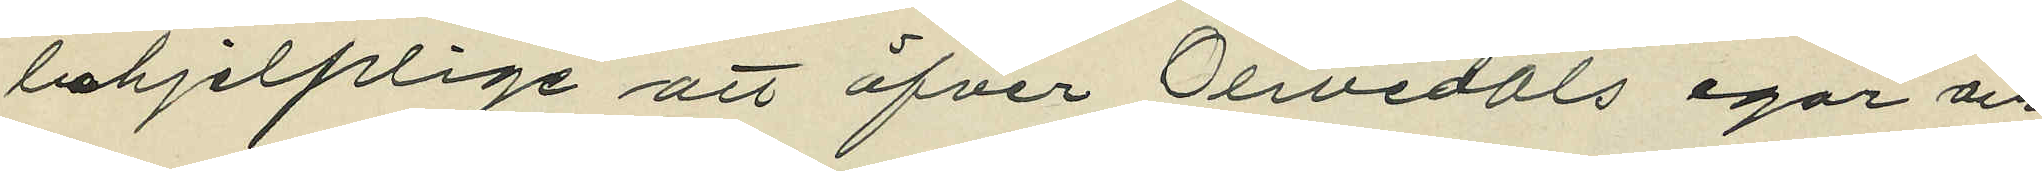behjelplige att öfver Olivedals egor och
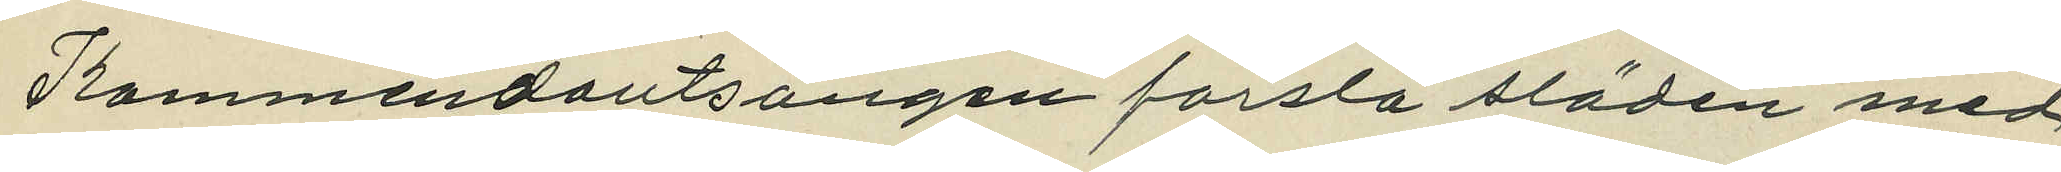Kommendantsängen forsla släden med
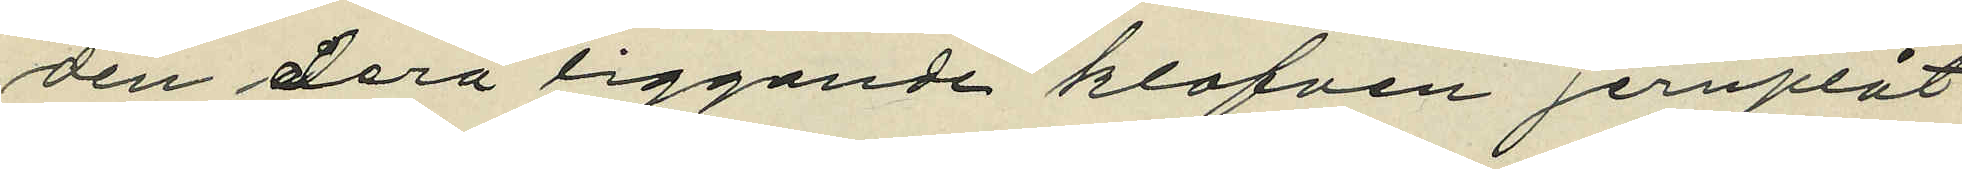den derå liggande klafven jernplåt
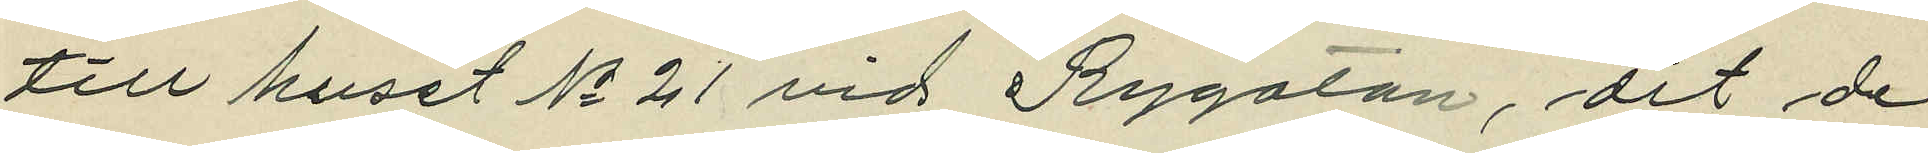till huset No 21 vid Rygatan, dit de
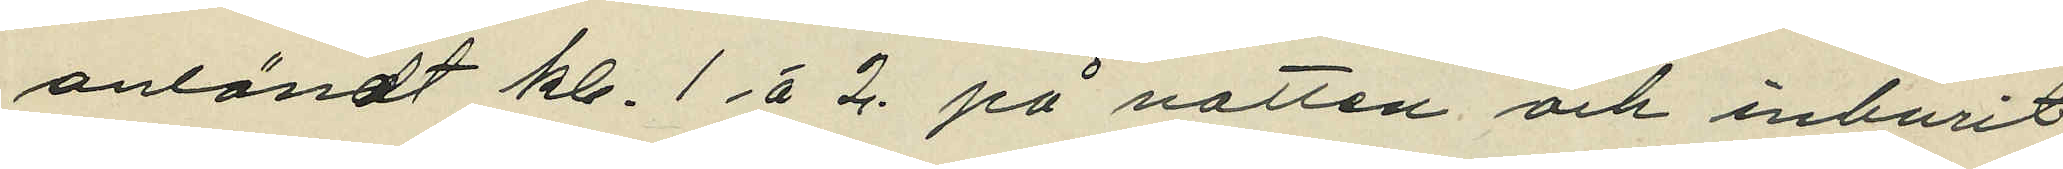anländt kl. 1. á 2. på natten och inburit
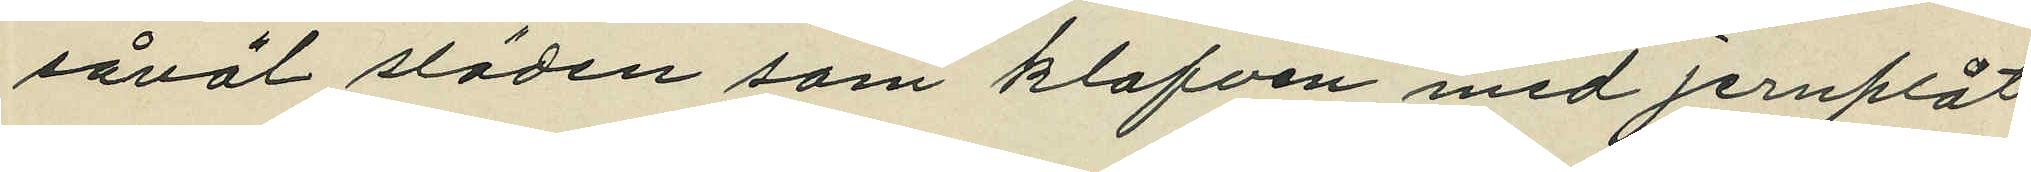såväl släden som klafven med jernplåt
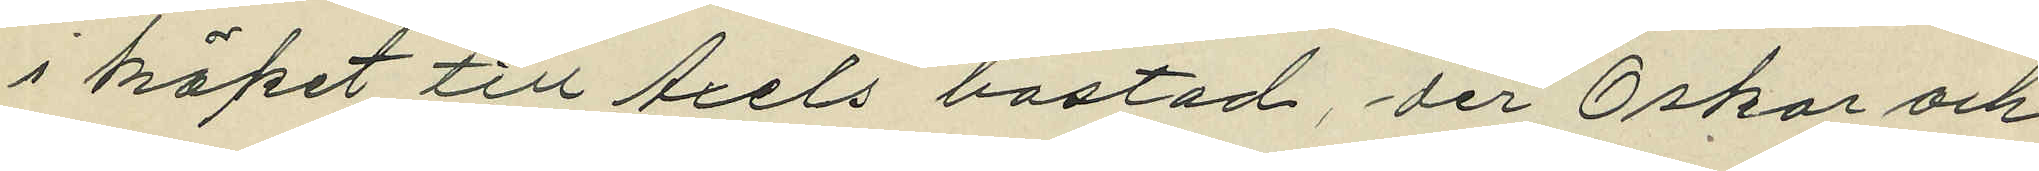i köket till Axels bostad, der Oskar och
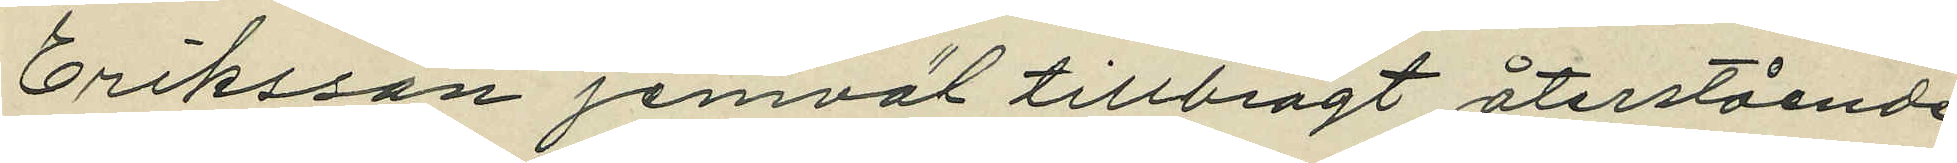Eriksson jemväl tillbragt återstående
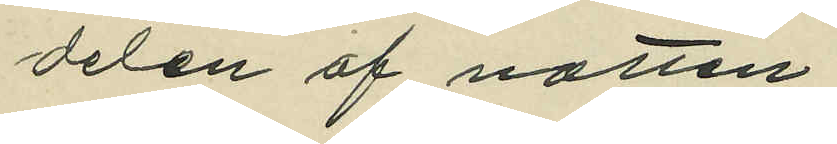delen af natten;
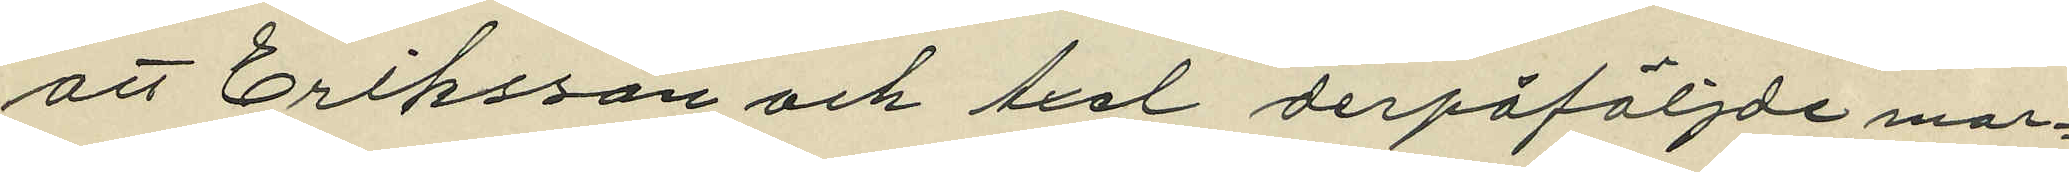att Eriksson och Axel derpåföljande mor¬
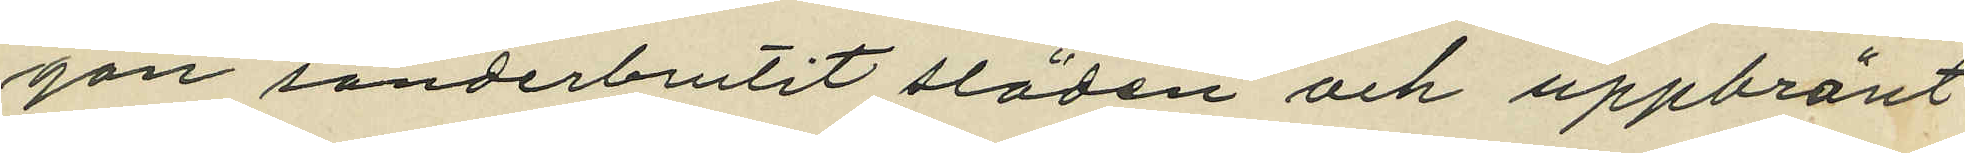gon sönderbrutit släden och uppbränt
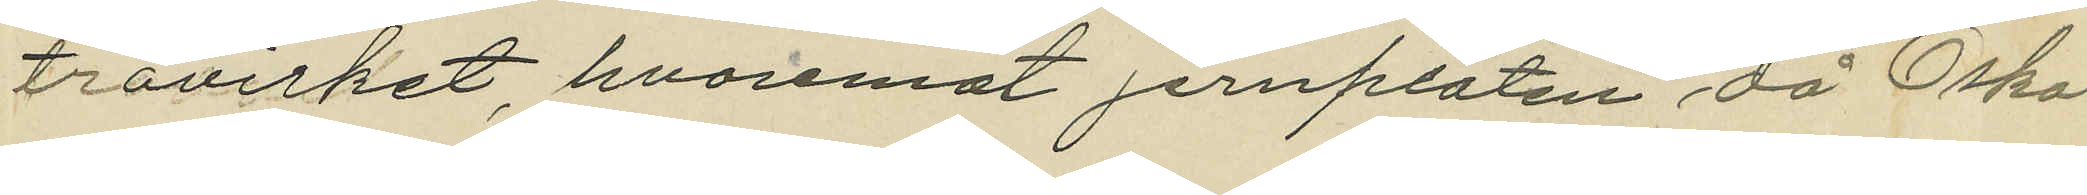trävirket, hvaremot jernplåten då Oskar
